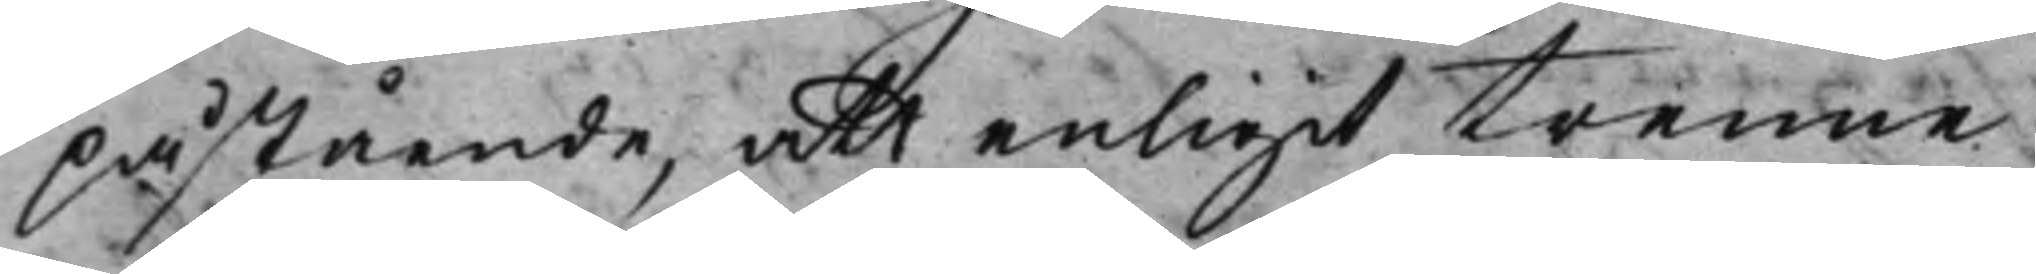påstående, att enligit trenne
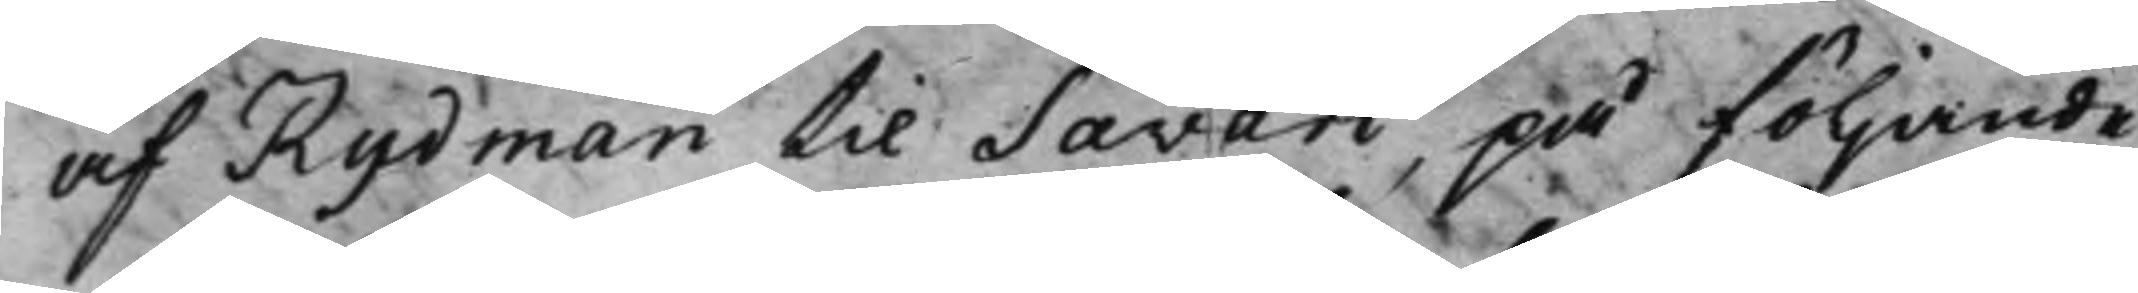af Rydman til Savari, på följande
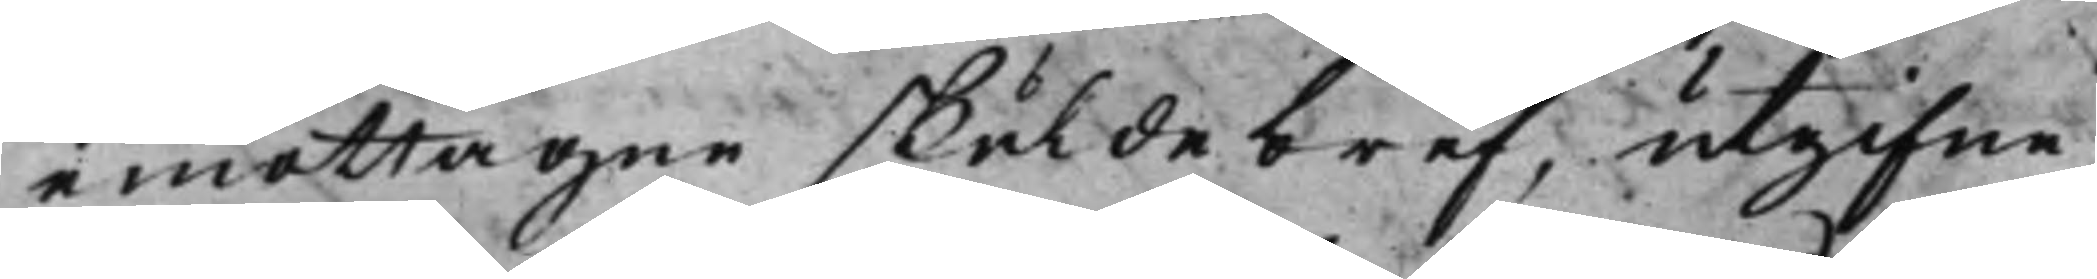emottagne skuldebref, utgifne
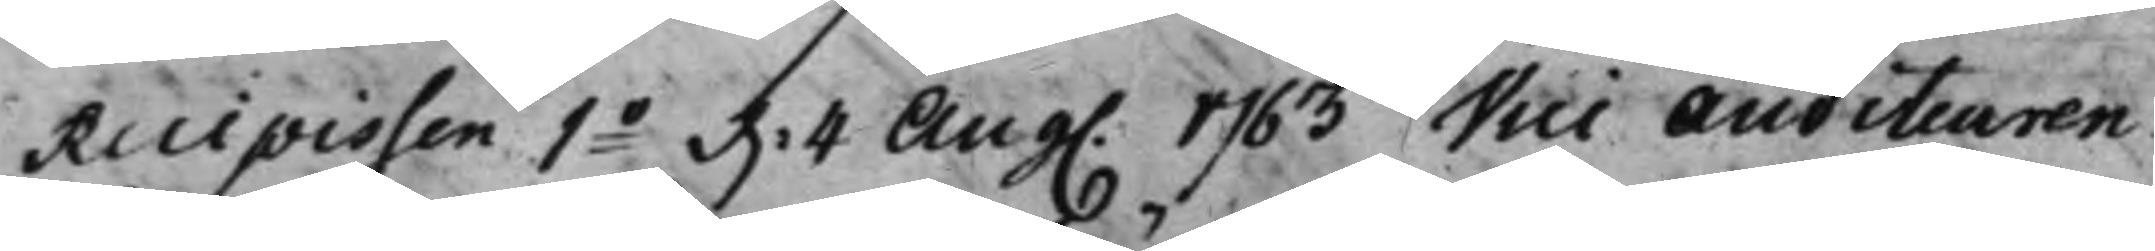Recipissen 1o d. 4 Aug. 1763 Vice Auditeuren
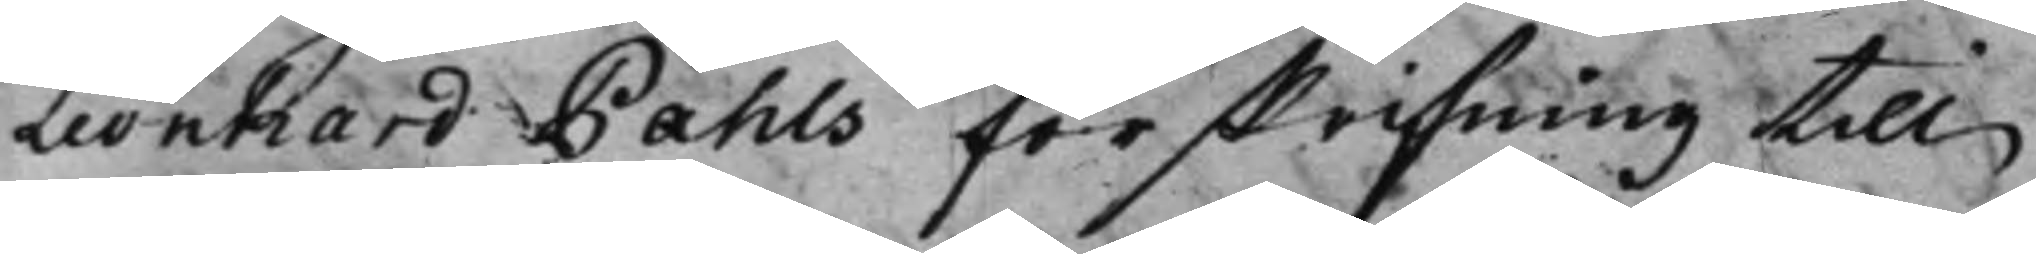Leonhard Pahls förskrifning till
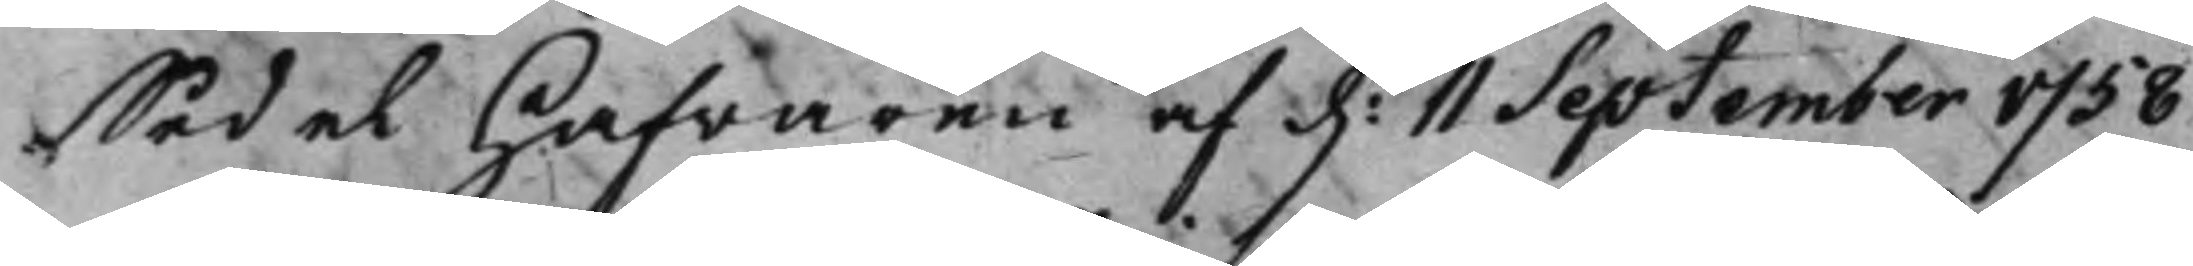Sedelhafwaren af d. 11 September 1758
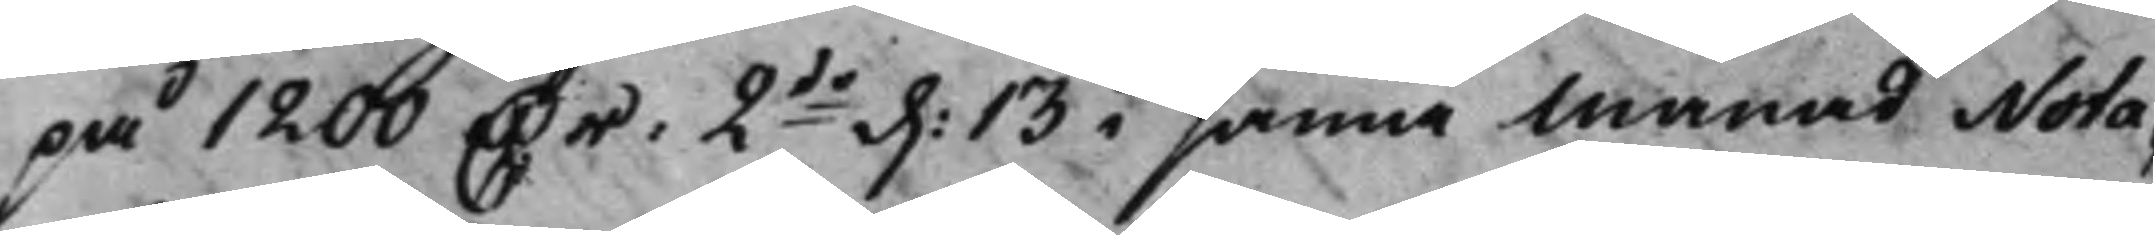på 1200 Dr: 2do d. 13 i sama Månad Nota¬
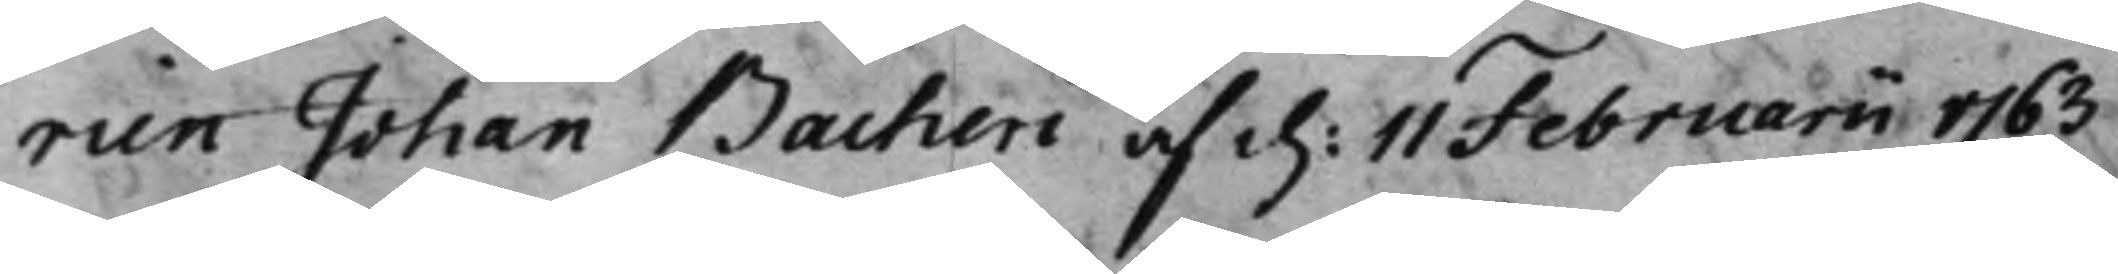rien Johan Bacheri af d. 11 Februari 1763
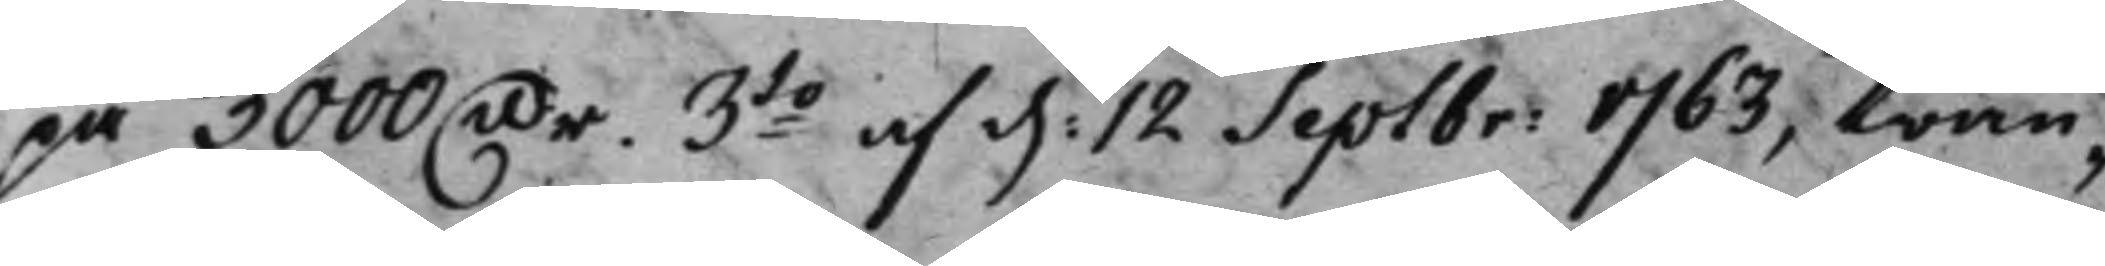på 3000 Dr. 3do af d. 12 Septbr: 1763 trän¬
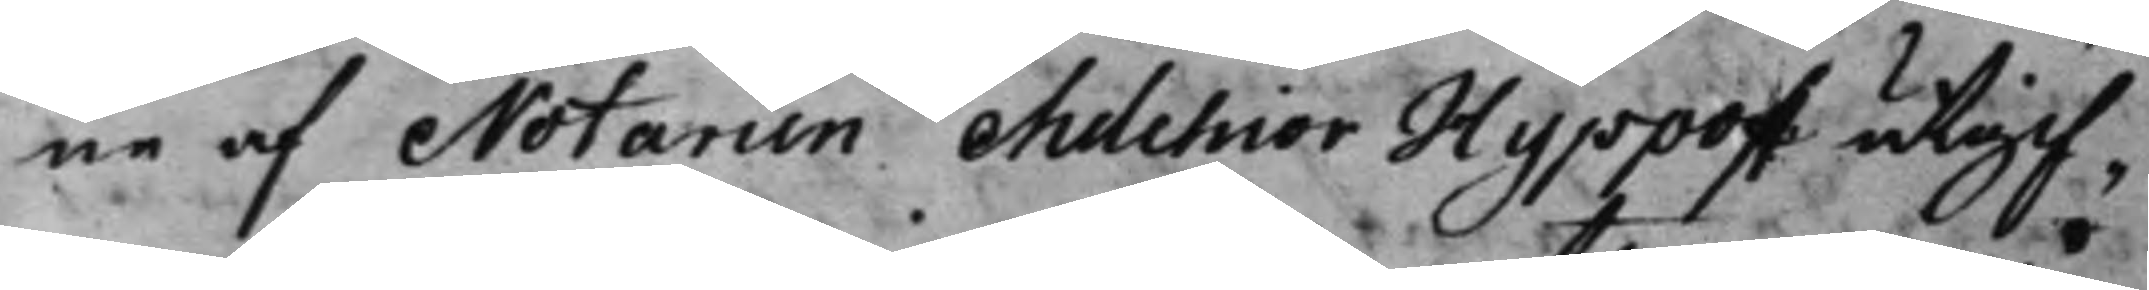ne af Notarien Melchior Hyppoff utgif¬
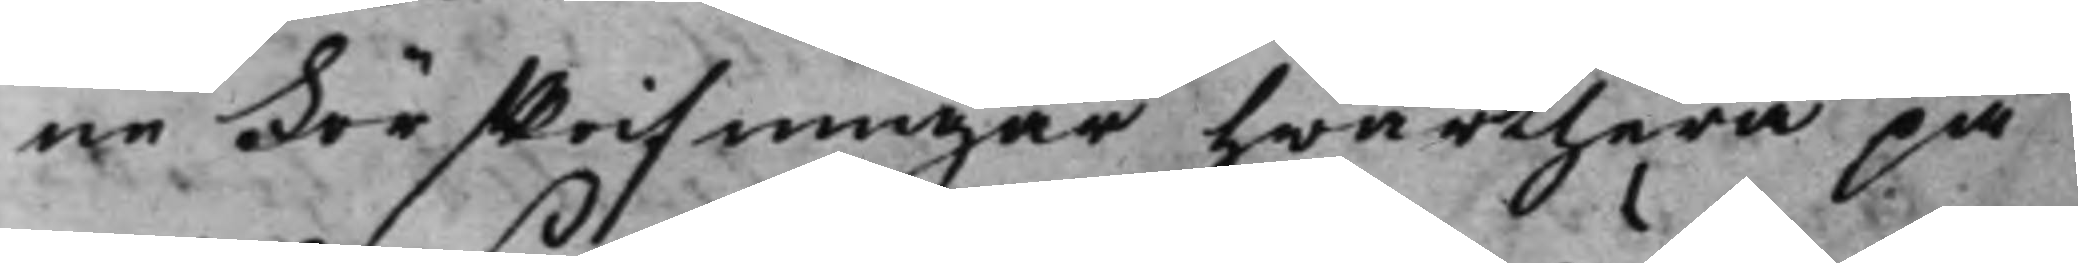ne Förskrifningar hwarthera på
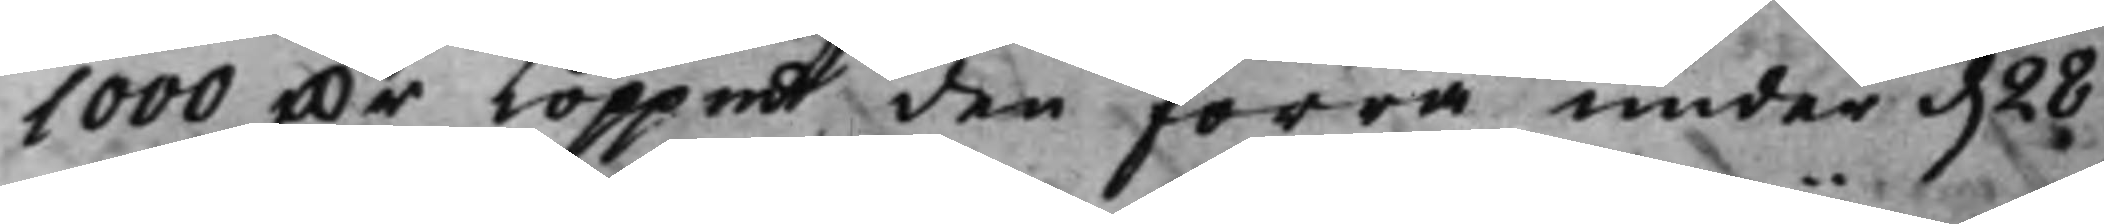1000 Dr Koppmt den förra under d. 28
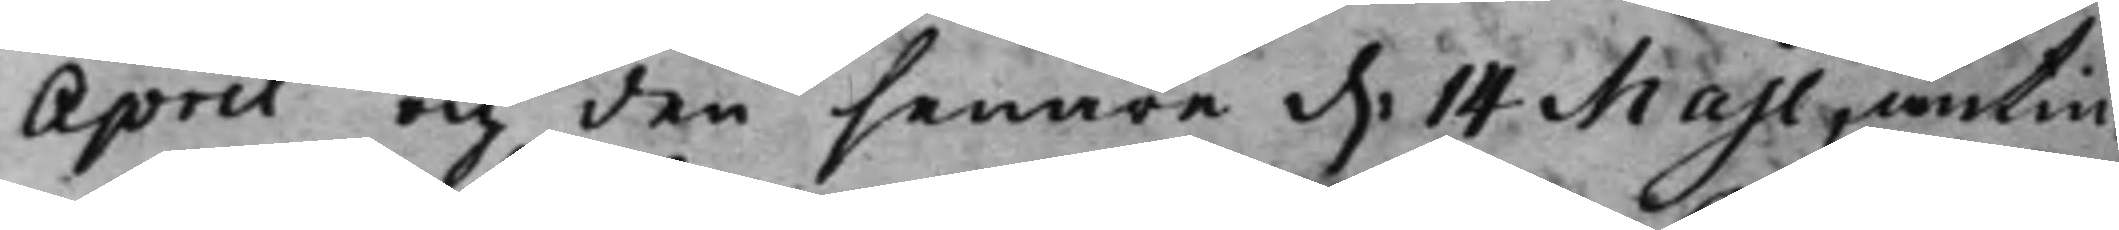April och den senare d. 14 Maji, antin¬
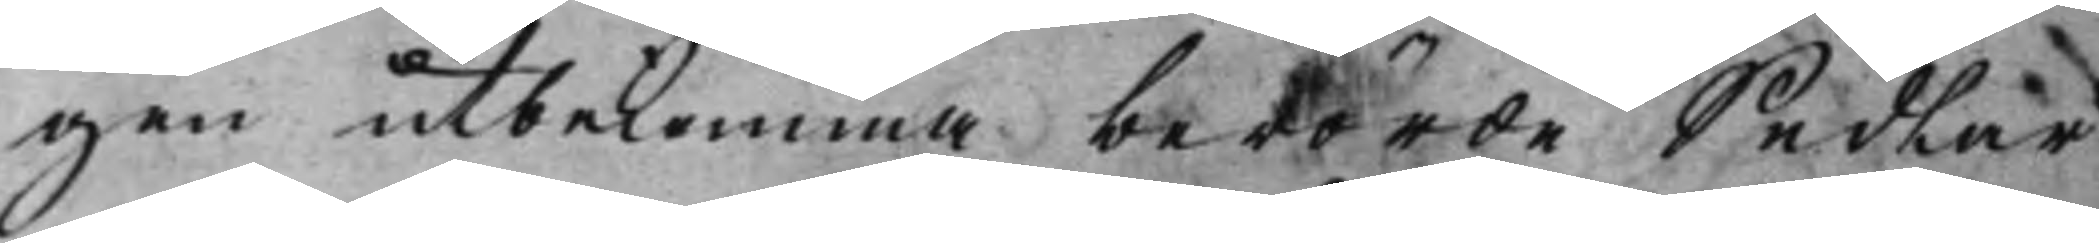gen utbekomma berörde Sedlar
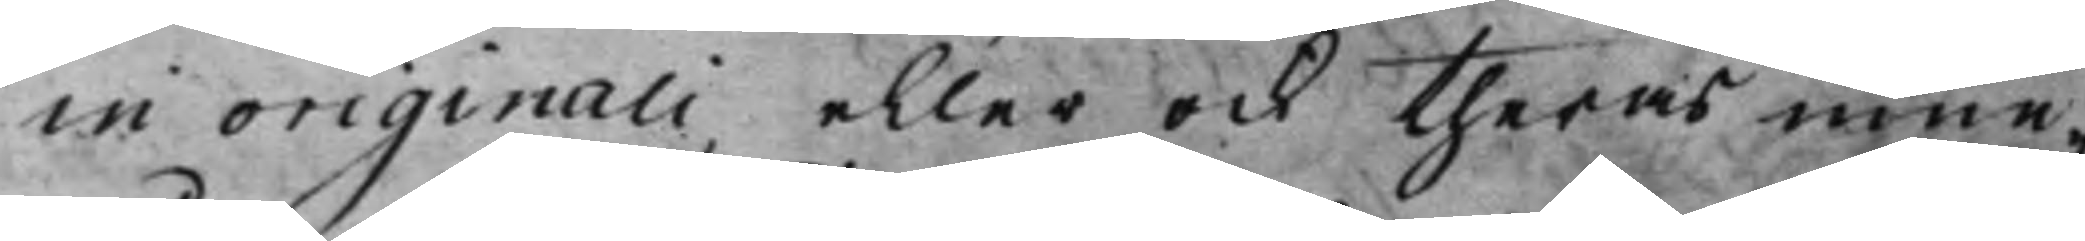in originali, eller ock theras inne¬
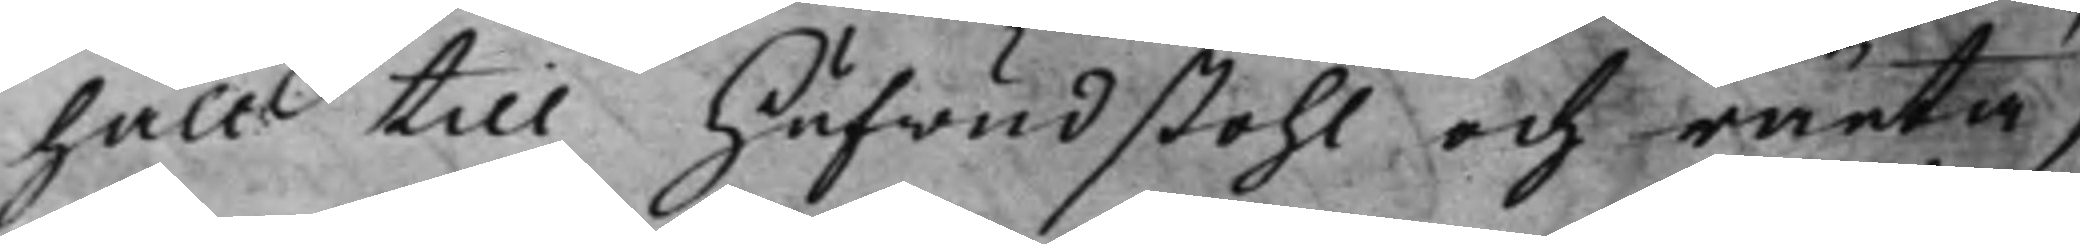håll till Hufwudstohl och ränta,
